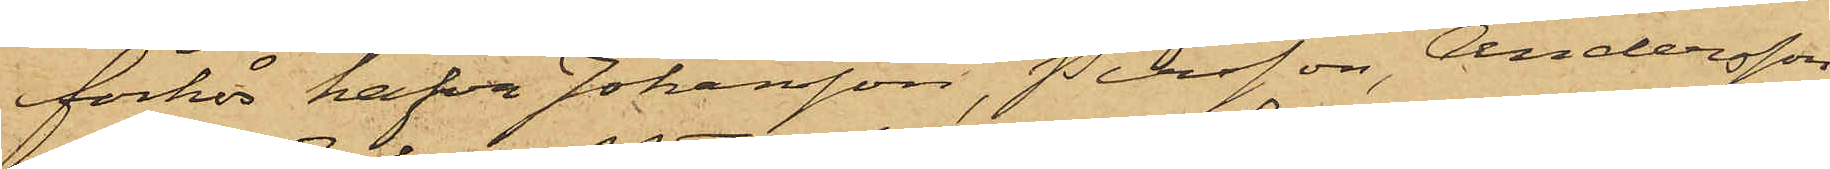förhör hafva Johansson, Persson, Andersson,
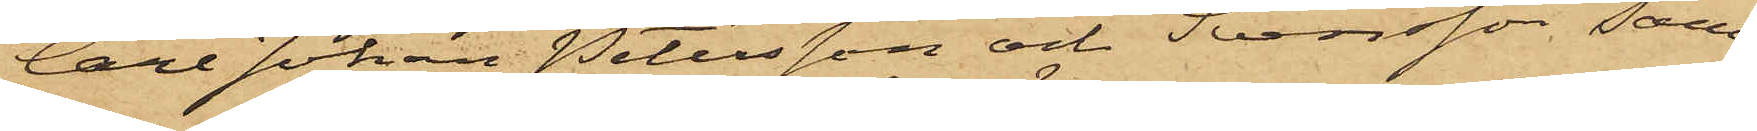Carl Johan Petersson och Svensson sam¬
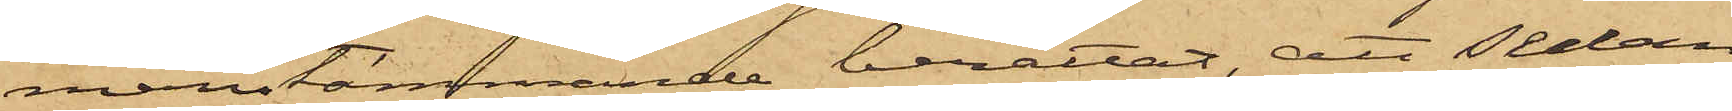manstämmande berättat, att sedan
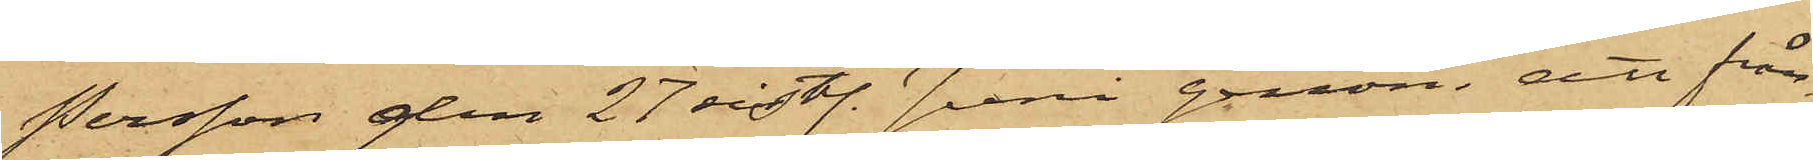Persson den 27 sist. Juni genom att från¬
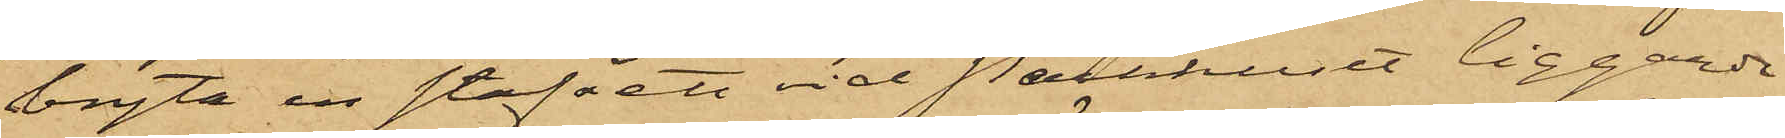bryta en stav å ett vid Packhuset liggande
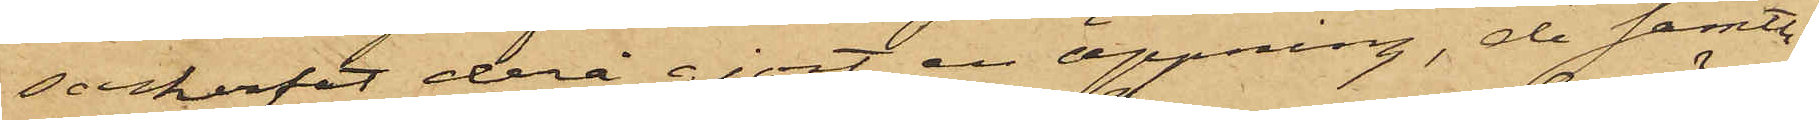sockerfat derå gjort en öppning, de samtli¬
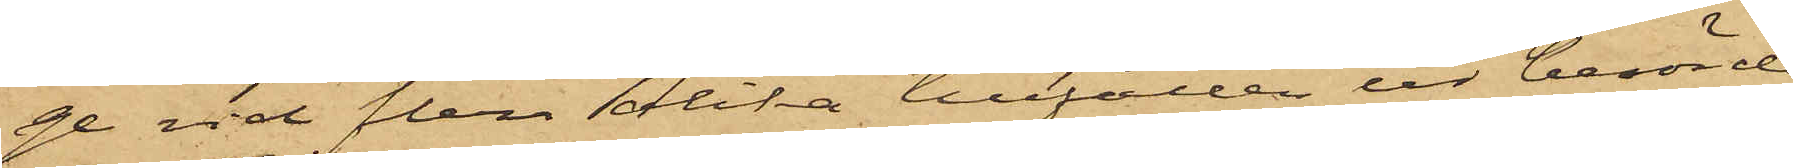ge vid flera olika tillfällen ur berörde
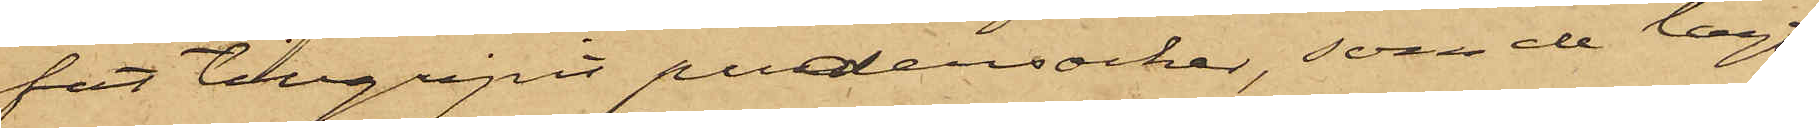fat tillgripit pudersocker, som de lagt
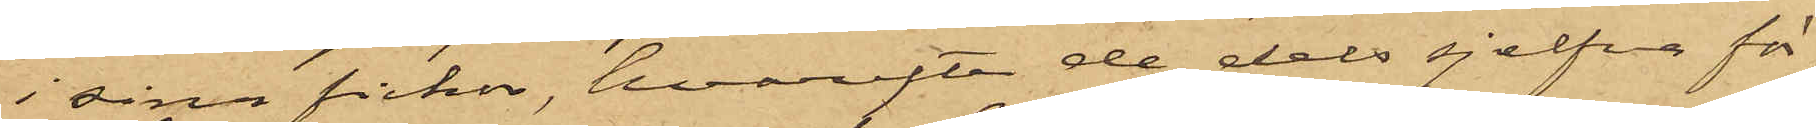i sina fickor, hvarefter de dels sjelfva för¬
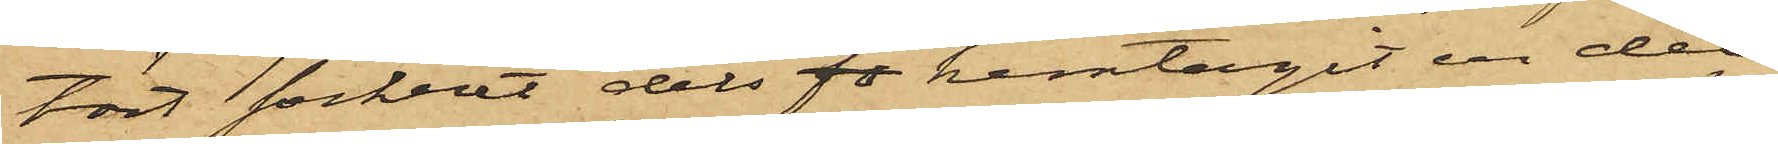tärt sockret dels fö hemtagit en del
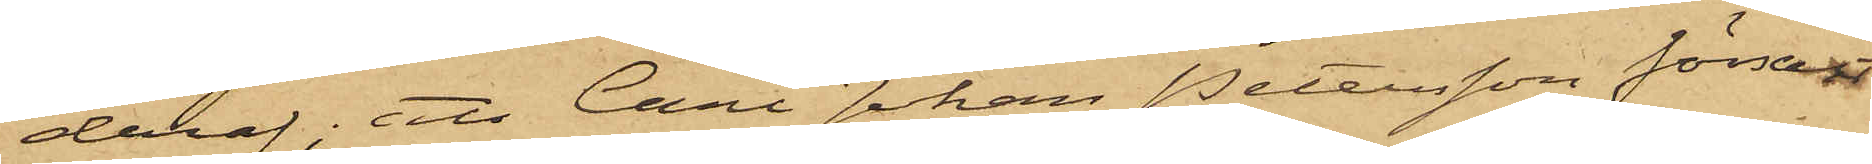deraf; att Carl Johan Petersson försålt
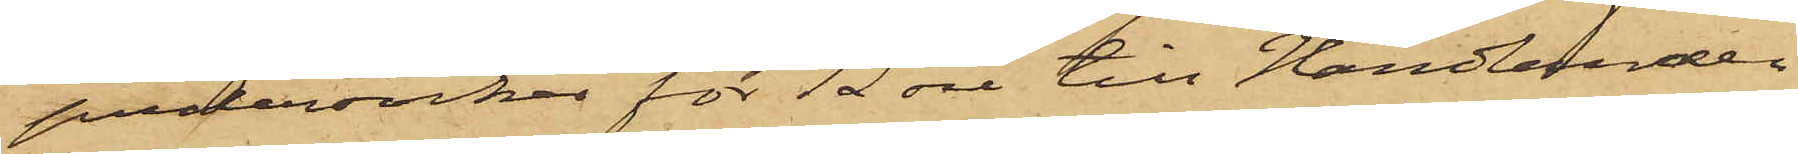pudersocker för 12 öre till Handlanden
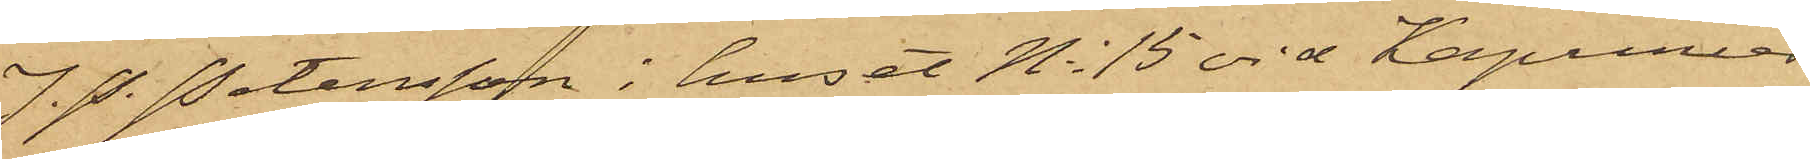J. P. Petersson i huset No 15 vid Kapuniär¬
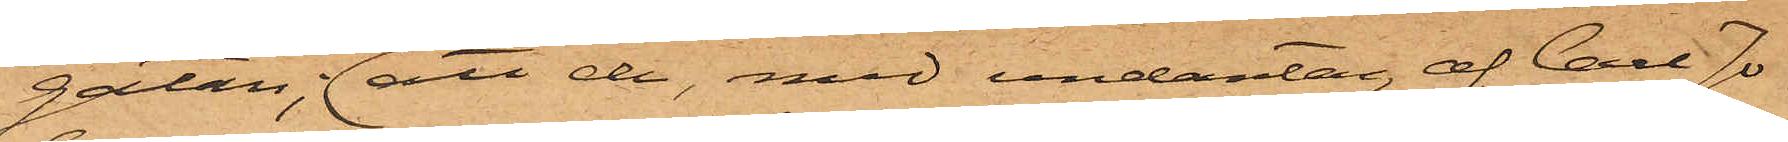gatan, att de, med undantag af Carl Jo¬
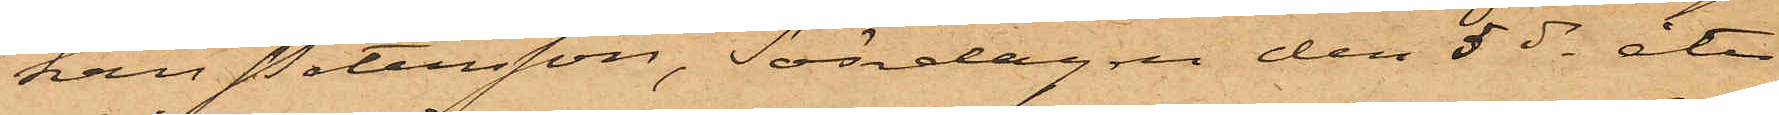han Petersson, Söndagen den 5 ds åter
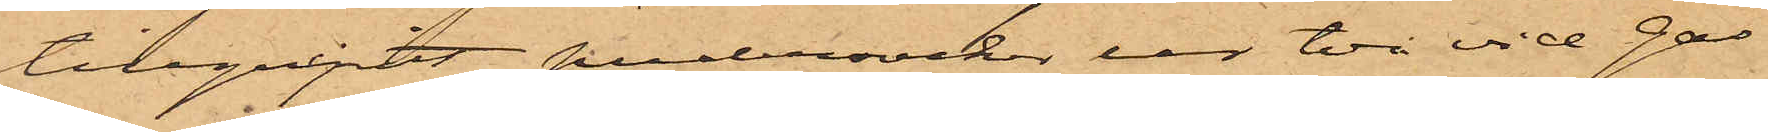tillgripit pudersocker ur två vid gas¬
